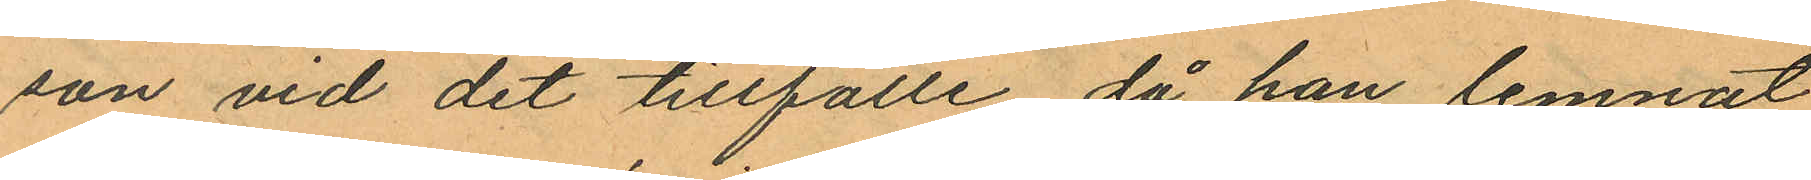son vid det tillfälle då han lemnat
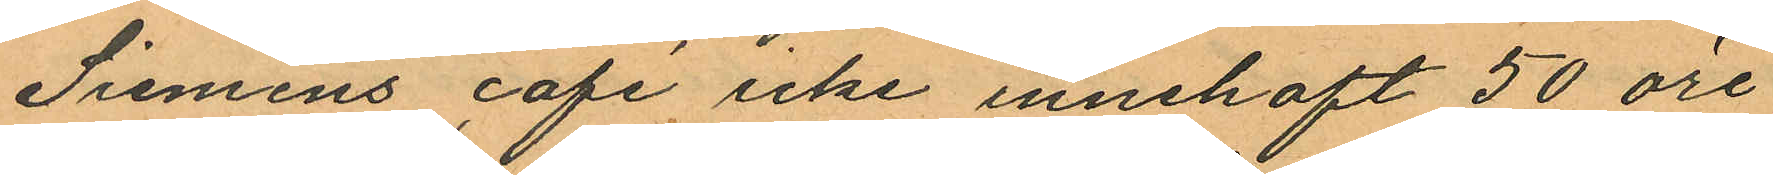Siemens café icke innehaft 50 öre
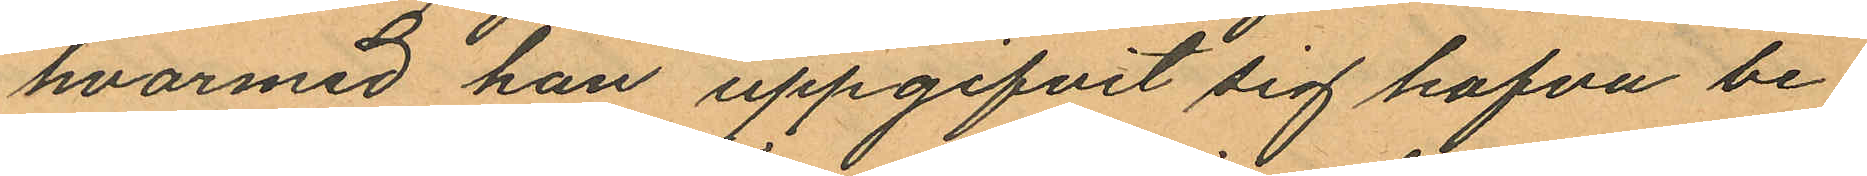hvarmed han uppgifvit sig hafva be¬
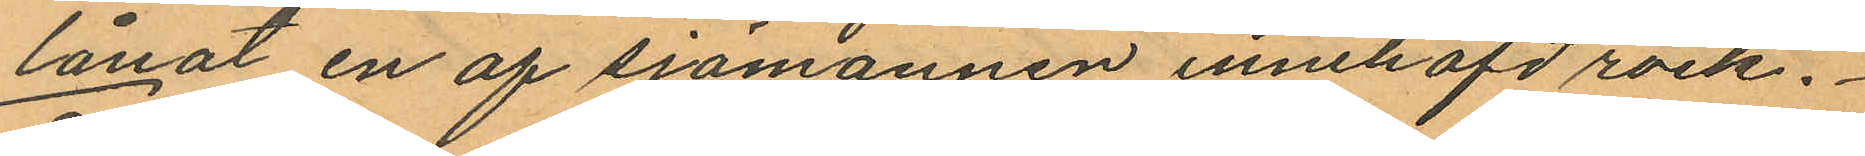lånat en af sjömannen innehafd rock.
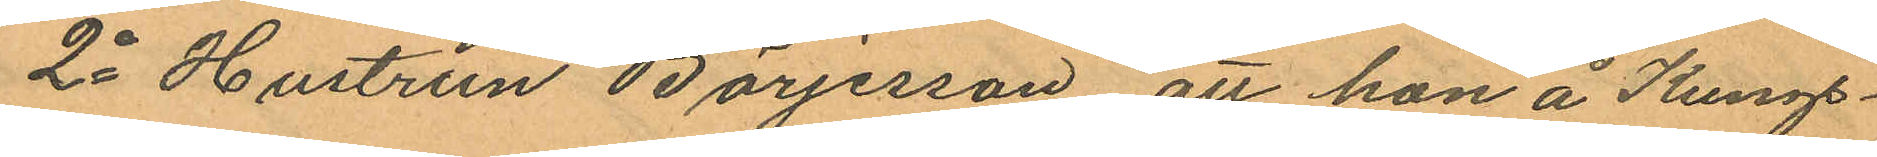2o Hustrun Börjesson att han å Kungs¬
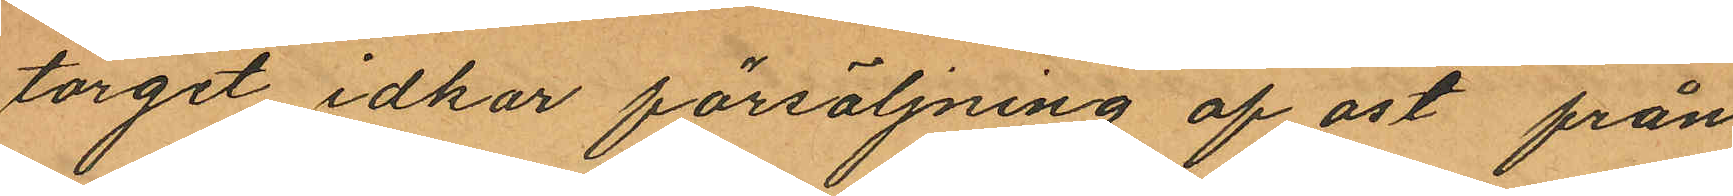torget idkar försäljning af ost från
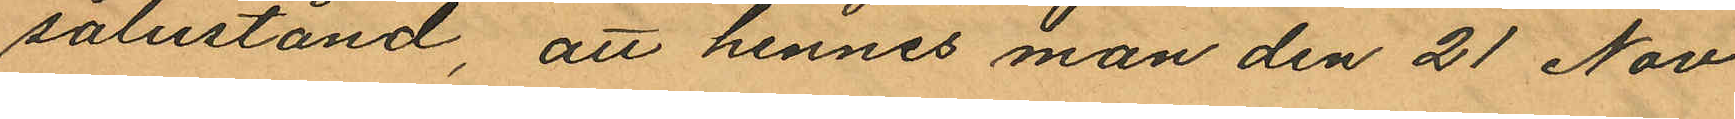salustånd, att hennes man den 21 Nov
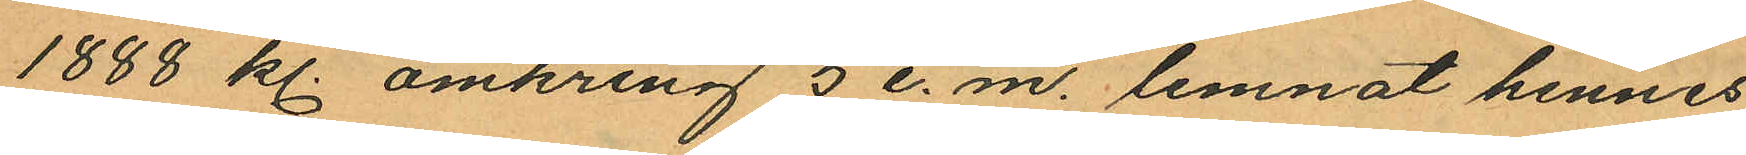1888 kl. omkring 5 e. m. lemnat hennes
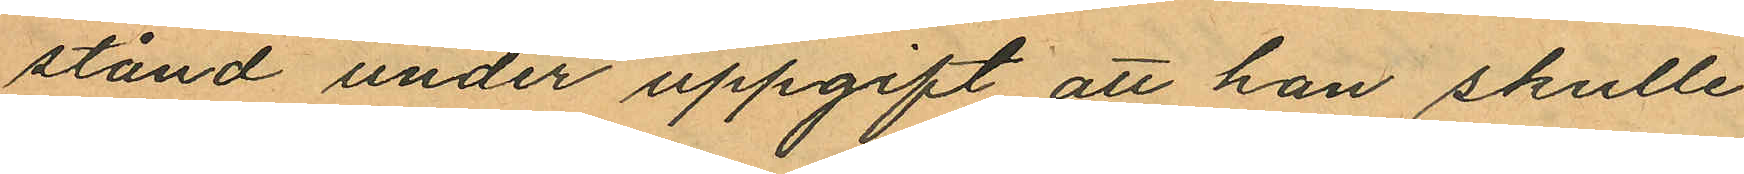stånd under uppgift att han skulle
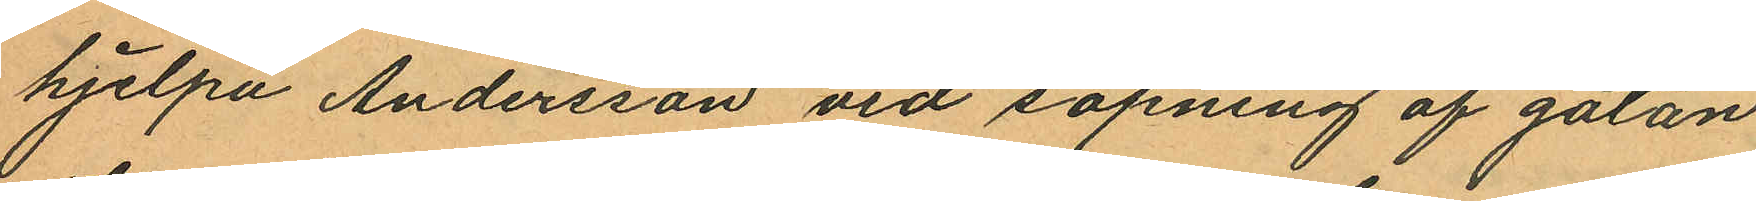hjelpa Andersson vid sopning af gatan
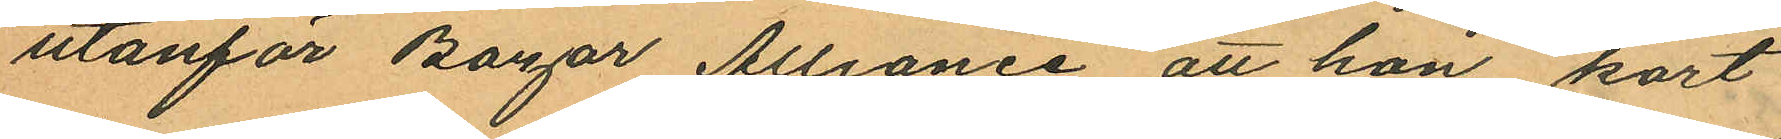utanför Bazar Alliance att hon kort
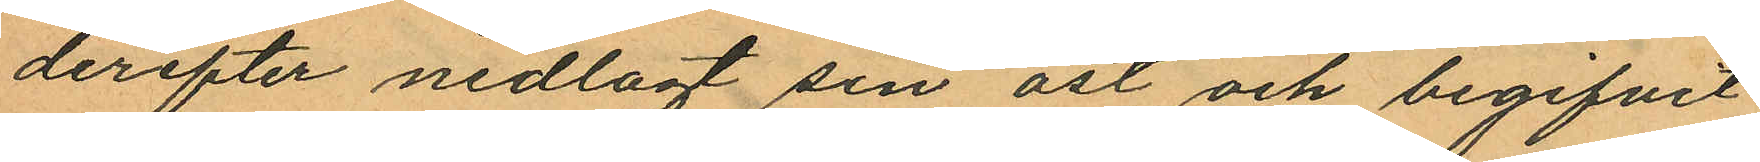derefter nedlagt sin ost och begifvit
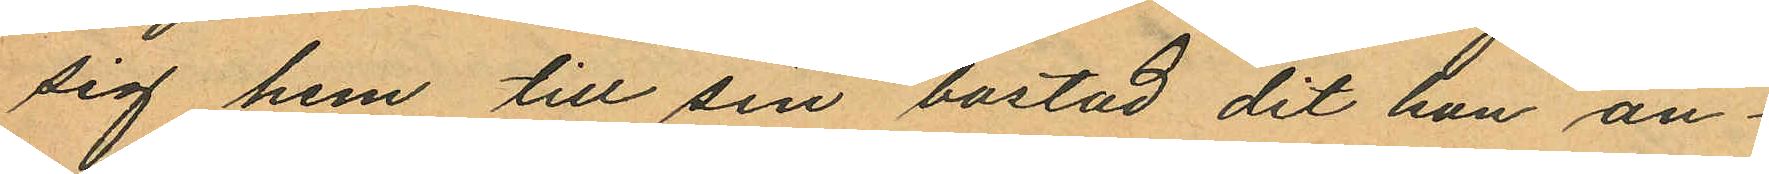sig hem till sin bostad, dit hon an
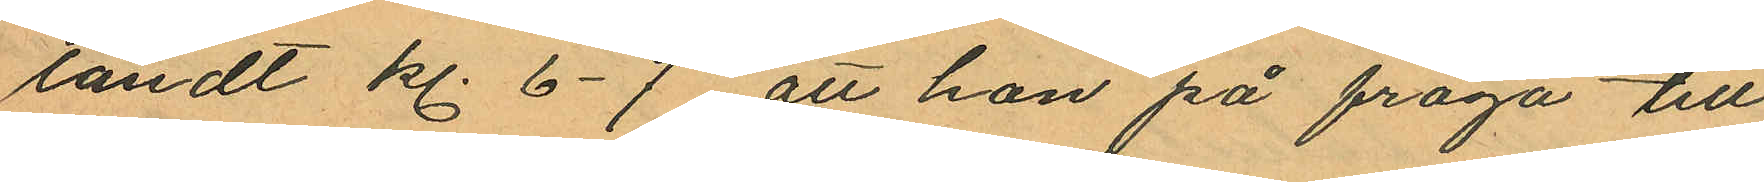ländt kl. 6-7 att hon på fråga till
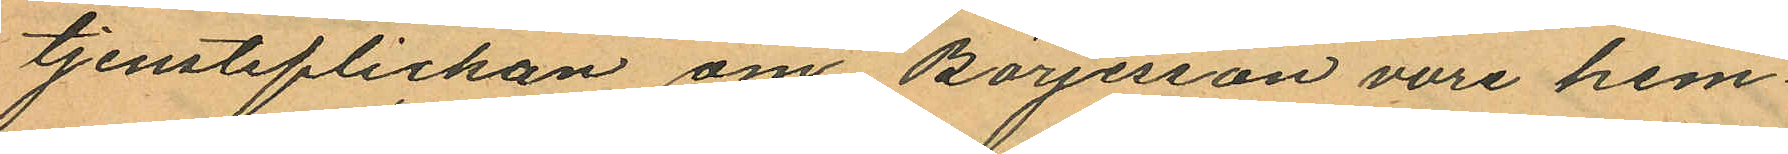tjensteflickan om Börjesson vore hem¬
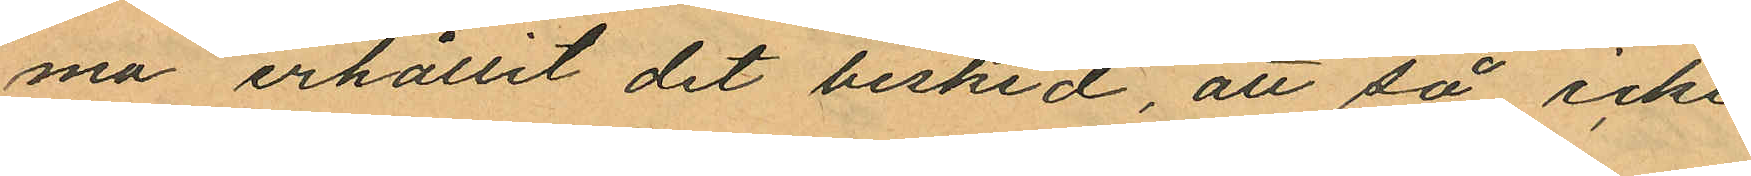ma erhållit det besked, att så icke
